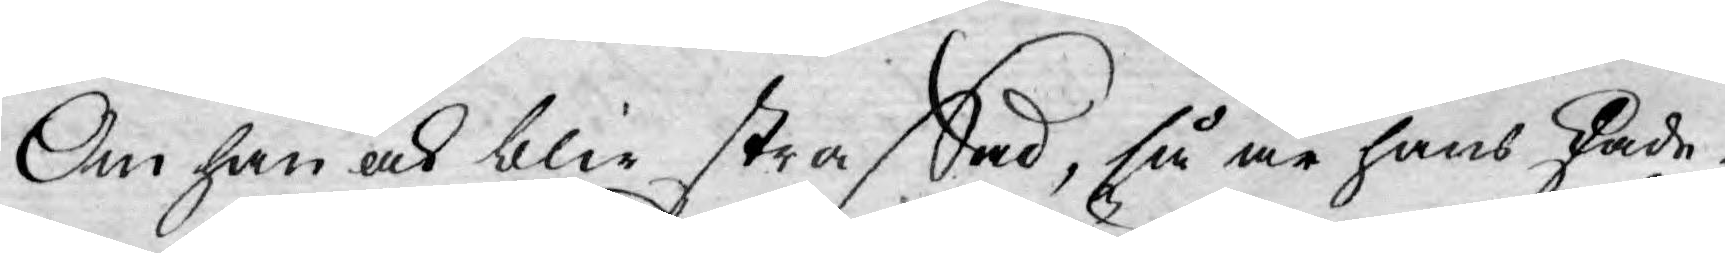Om han ock blir straffad, så är hans skade¬
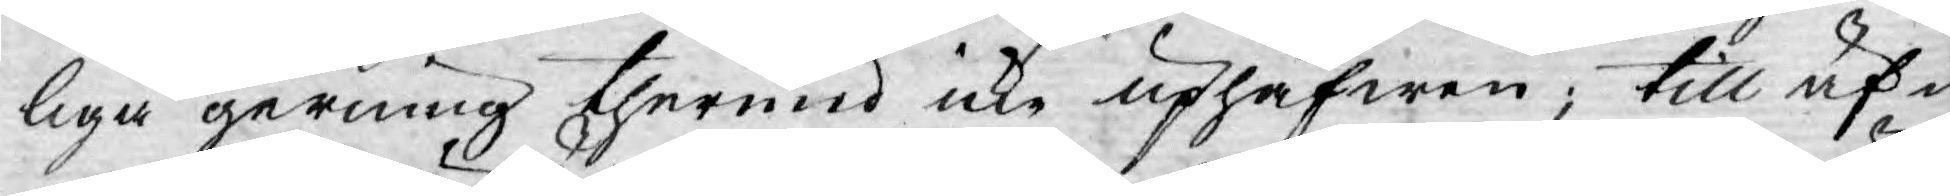liga gerning thermed icke uphäfwen; till äf¬
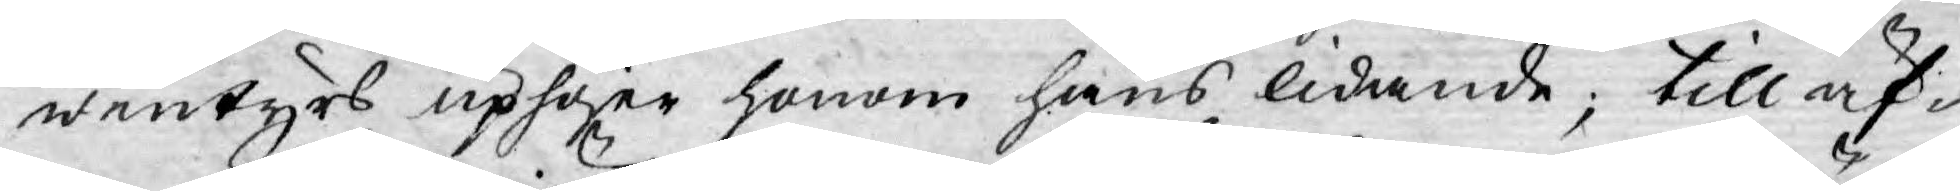wentyrs uphöjer honom hans lidande; till äf¬
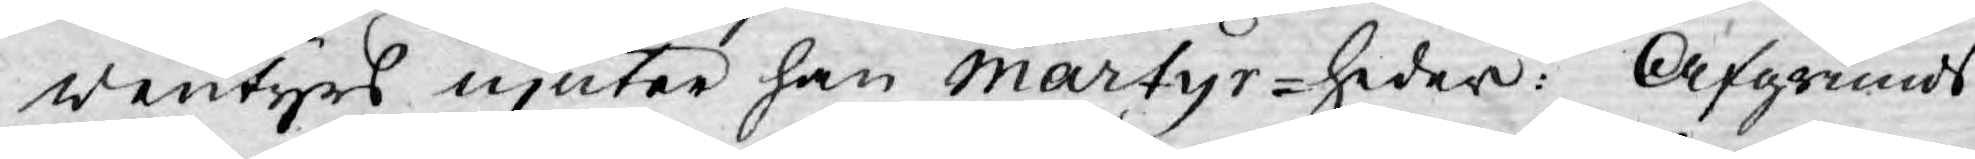wentyrs njuter han Martyr-heder: Afgrunds
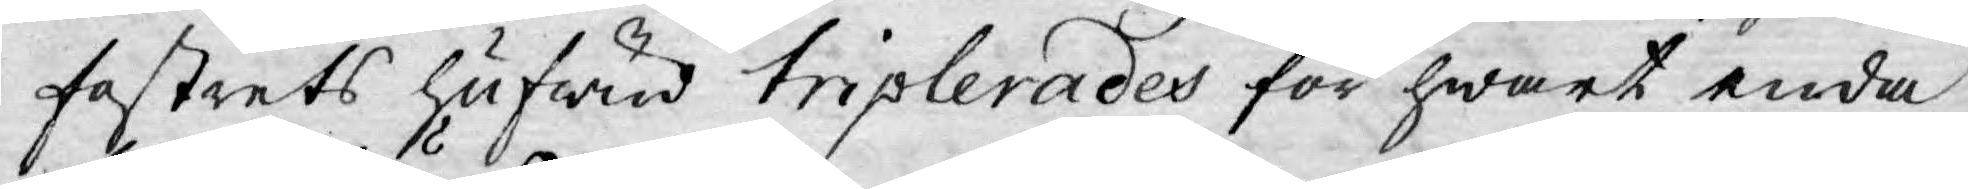fostrets hufwud triplerades för hwart enda
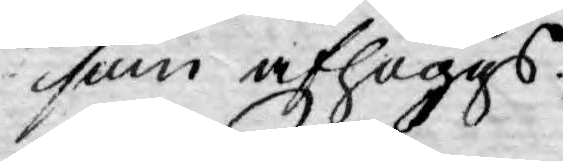som afhöggs.
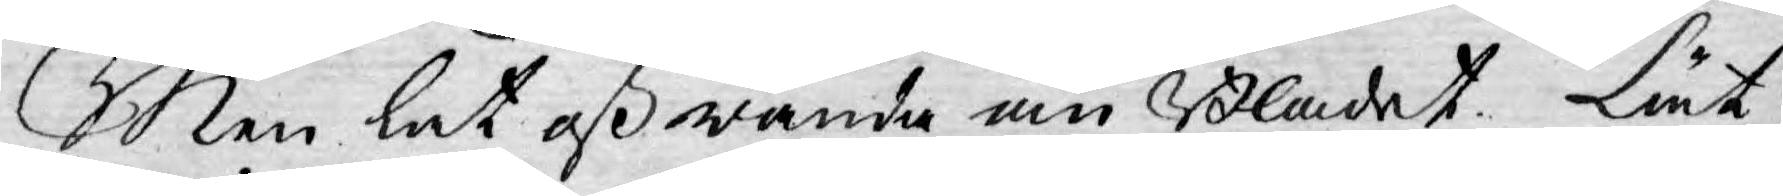Men lät oß wända om Bladet. Lät
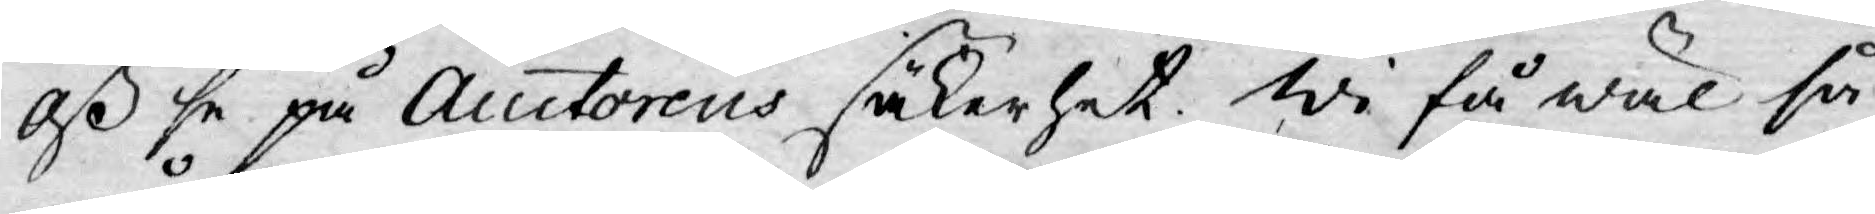Oß se på Auctorens säkerhet. Wi få wäl så
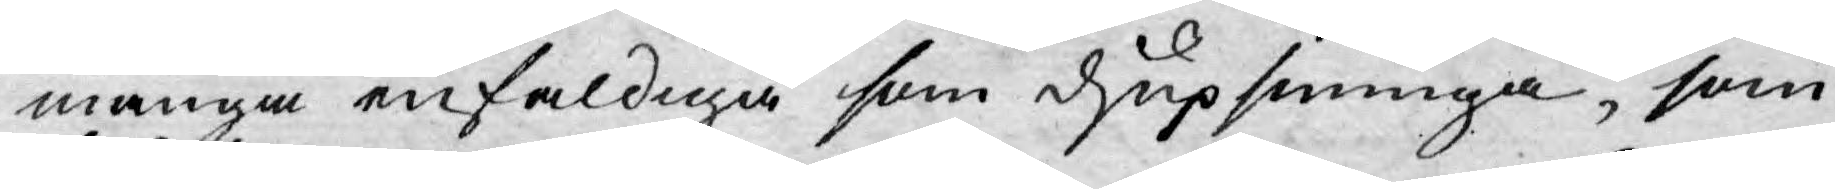många enfaldiga som djupsininga, som
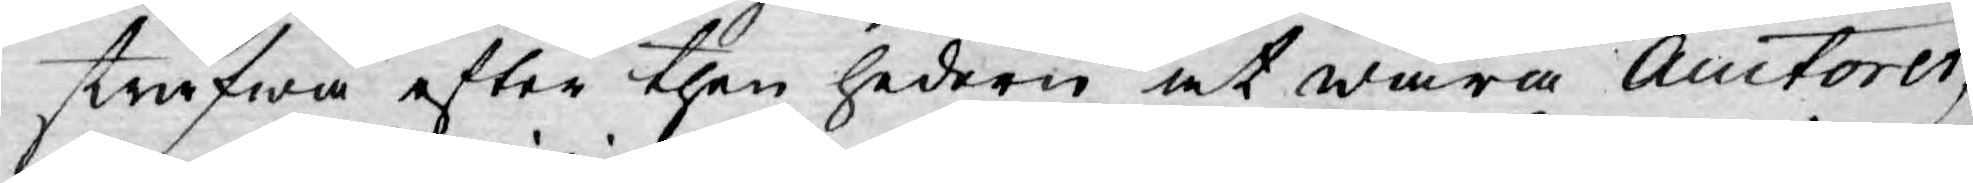sträfwa efter then hedern at wara Auctorer,
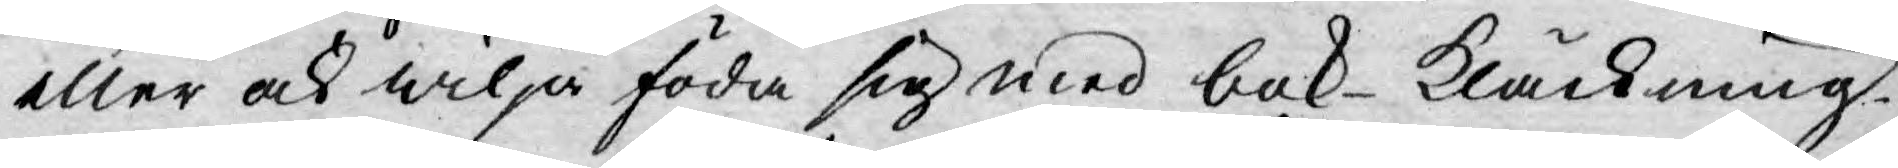eller ock wilja föda sig med bok-kläckning.
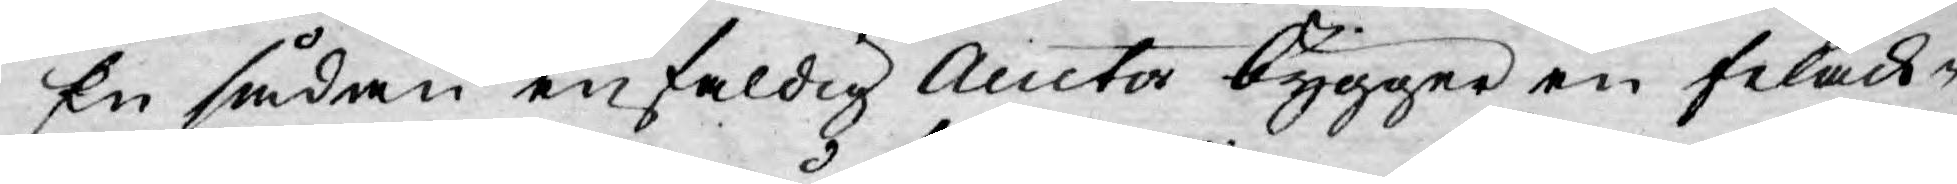En sådan enfaldig Auctor bygger en felack¬
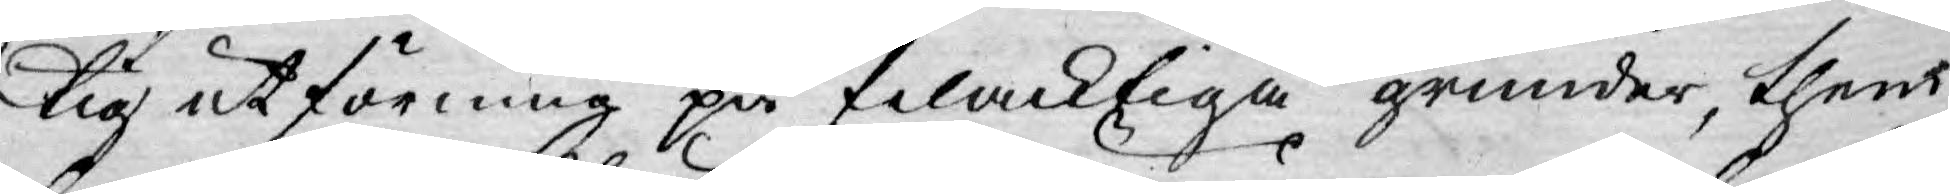tig utförning på felacktiga grunder, then
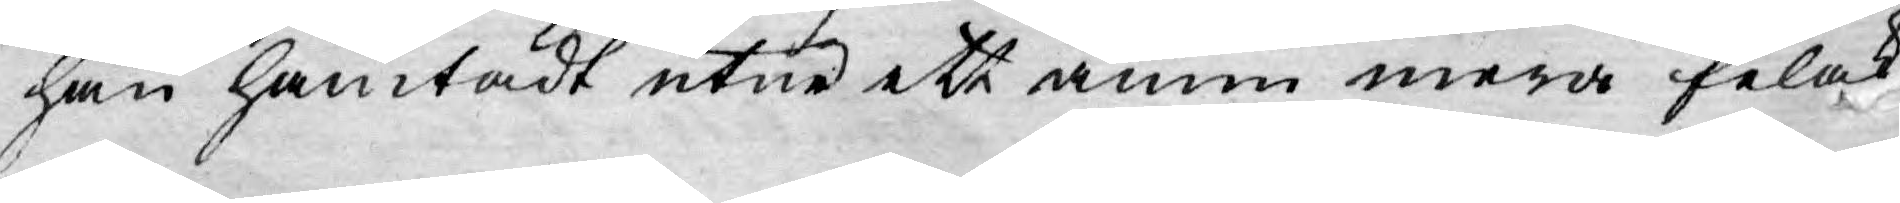han hämtadt utur ett ännu mera felak¬
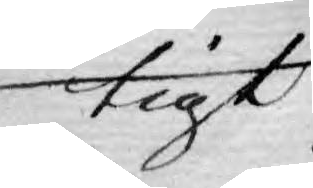tigt
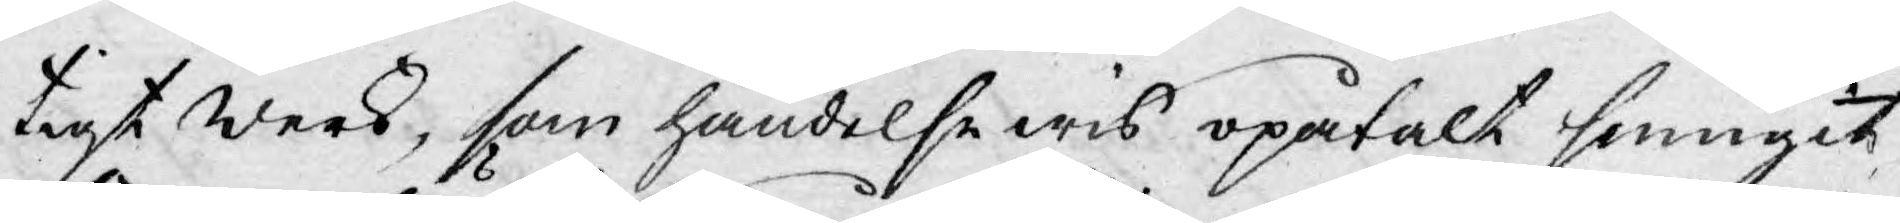tigt werk, som händelse wis opåtalt smugit
